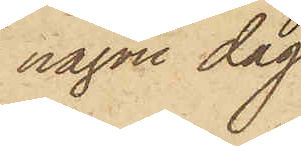någon dag
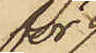för
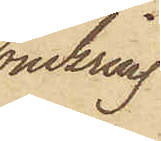omkring
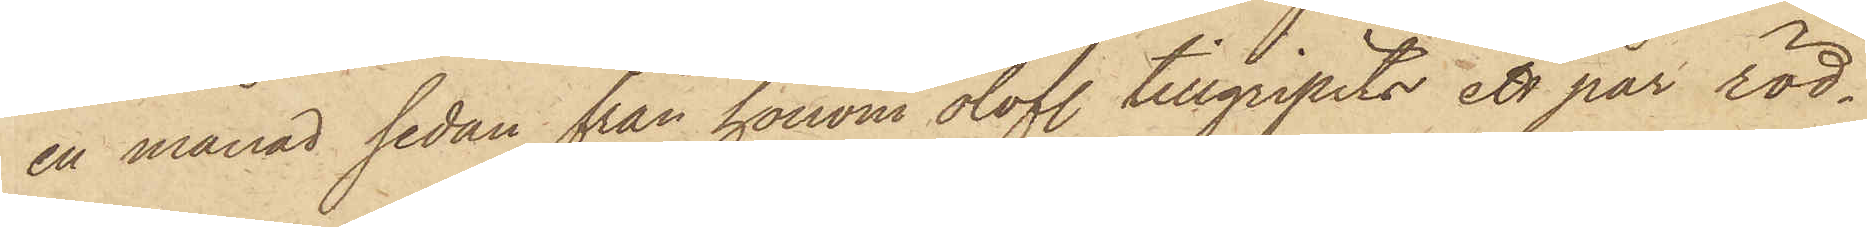en månad sedan från honom olofl. tillgripits ett par röd¬
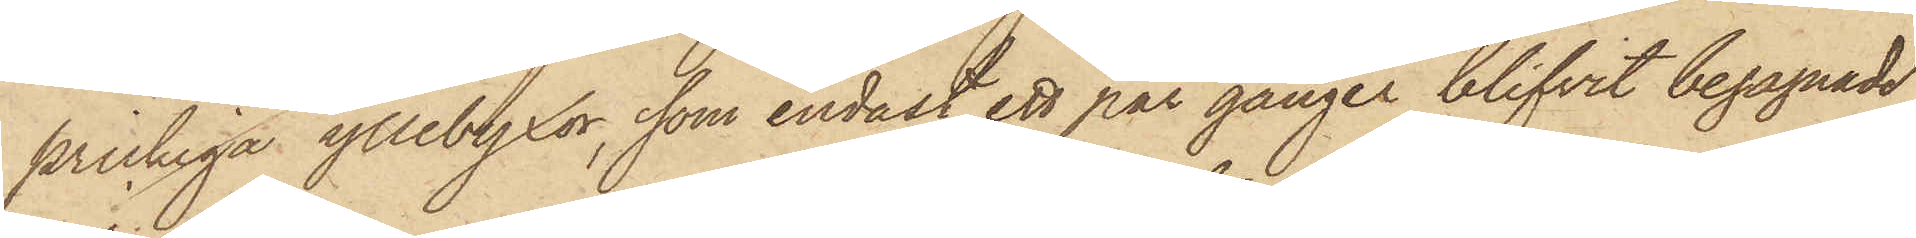prickiga yllebyxor, som endast ett par gånger blifvit begagnade,
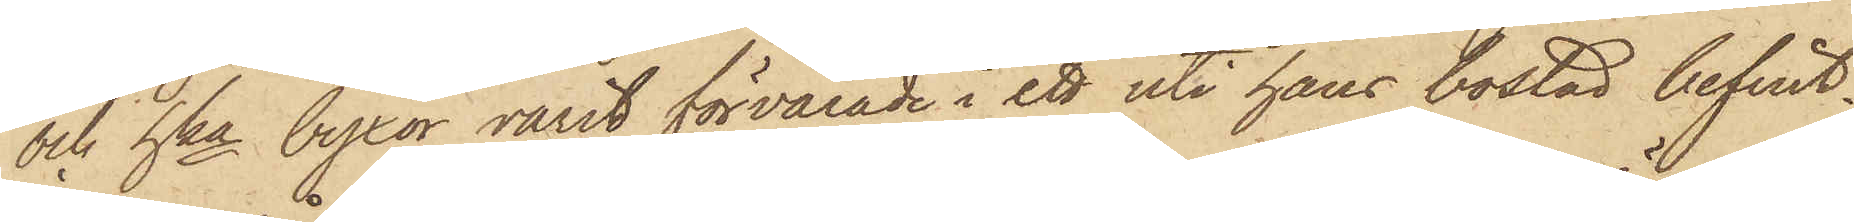och hka byxor varit förvarade i ett uti hans bostad befint¬
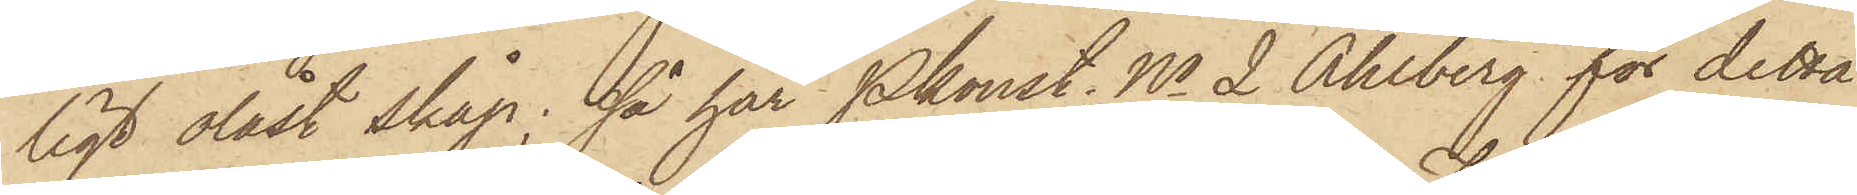ligt olåst skåp; så har Pkonst. No 2 Ahlberg för detta
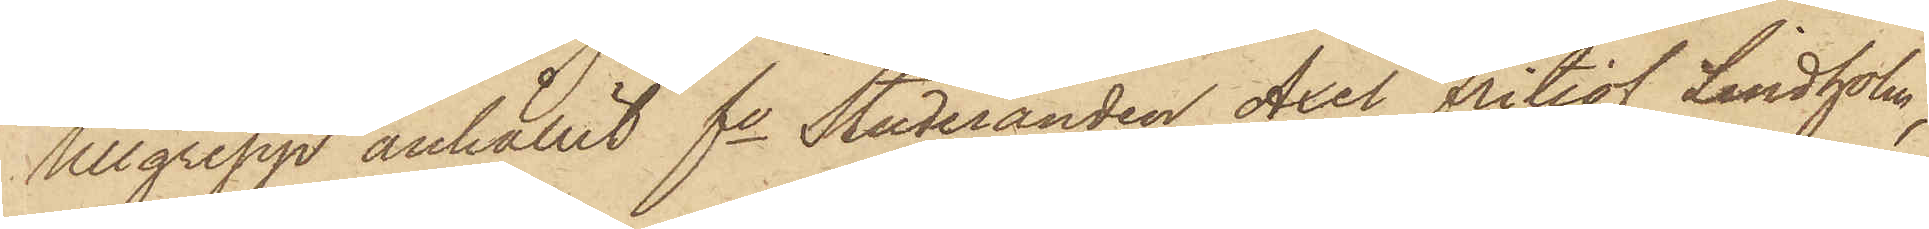tillgrepp anhållit fe Studeranden Axel Fritiof Lindholm,
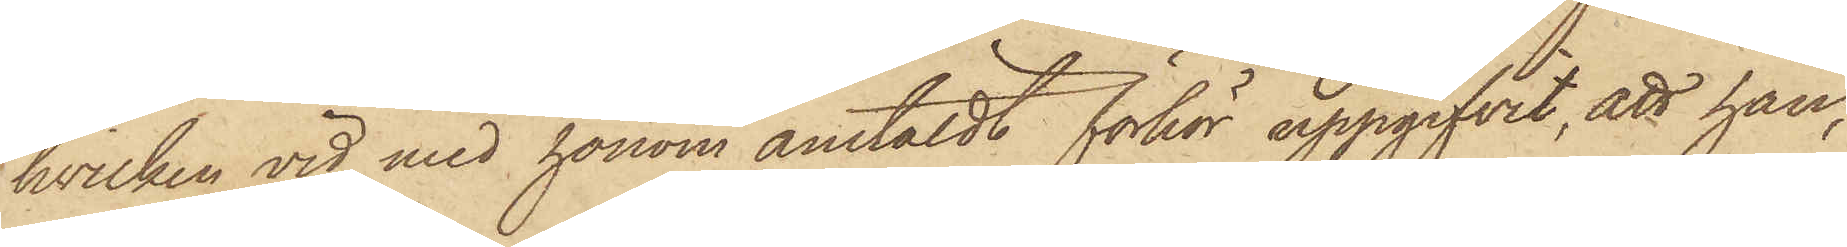hvilken vid med honom anstäldt förhör uppgifvit, att han,
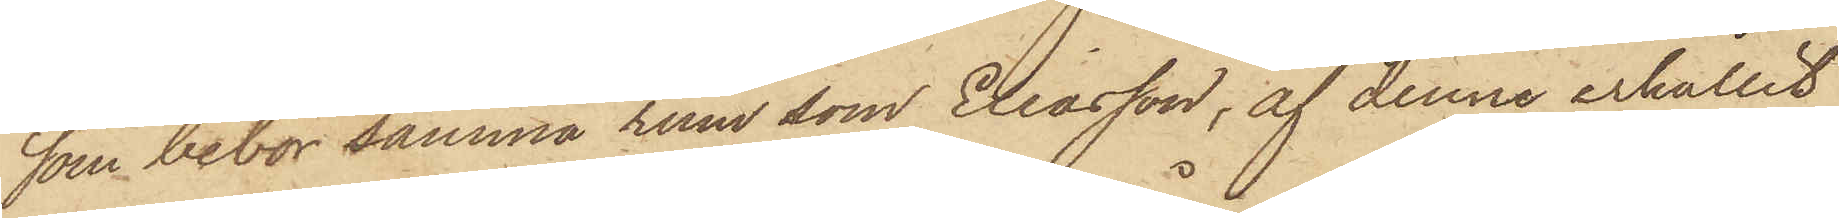som bebor samma rum som Eliasson, af denne erhållit
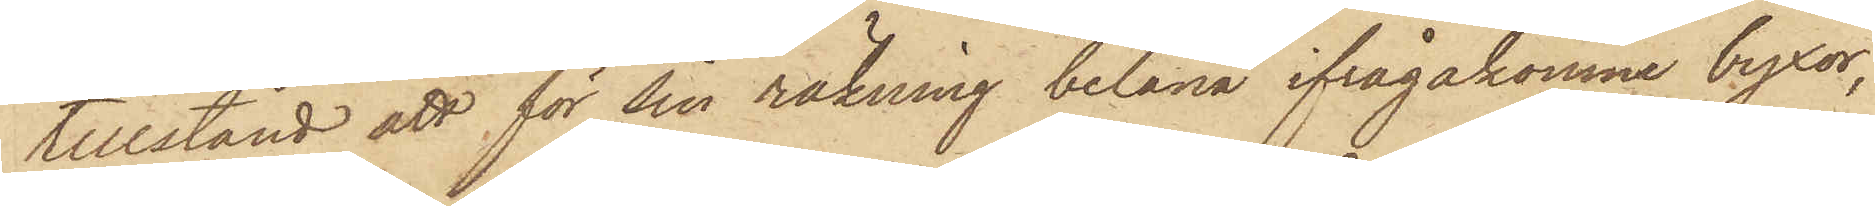tillstånd att för sin räkning belåna ifrågakomne byxor,
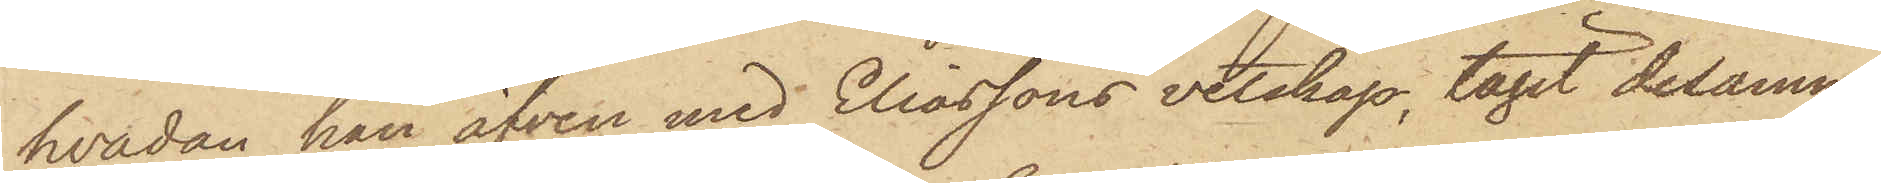hvadan han äfven med Eliassons vetskap, tagit desamme
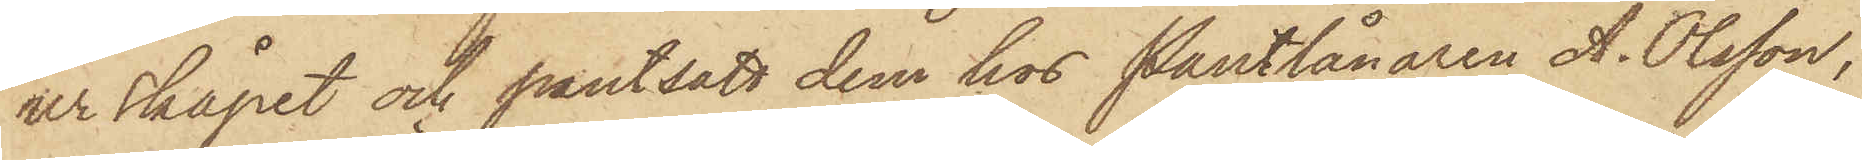ur skåpet och pantsatt dem hos Pantlånaren A. Olsson,
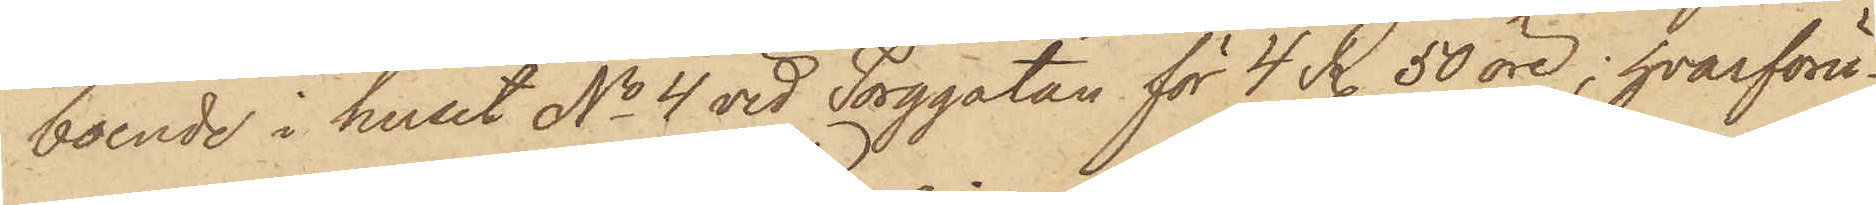boende i huset No 4 vid Torggatan för 4 R 50 öre; hvarföru¬
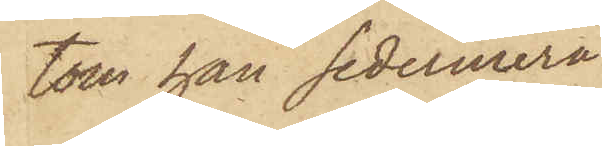tom han sedermera
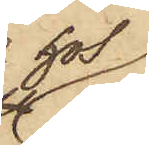hos
